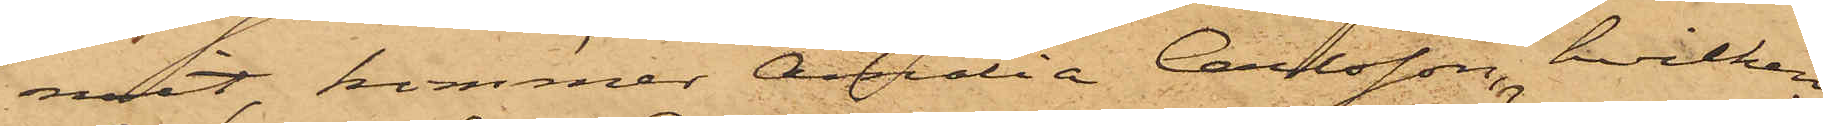mit, kommer Amalia Carlsson, hvilken
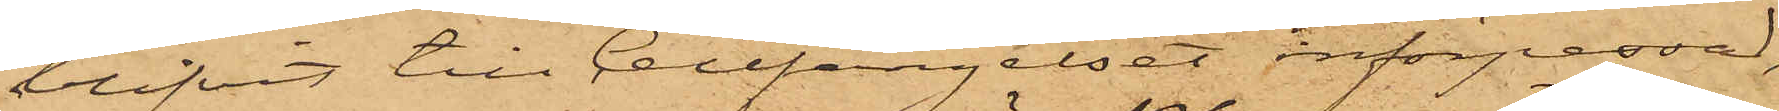blifvit till Cellfängelset införpassad,
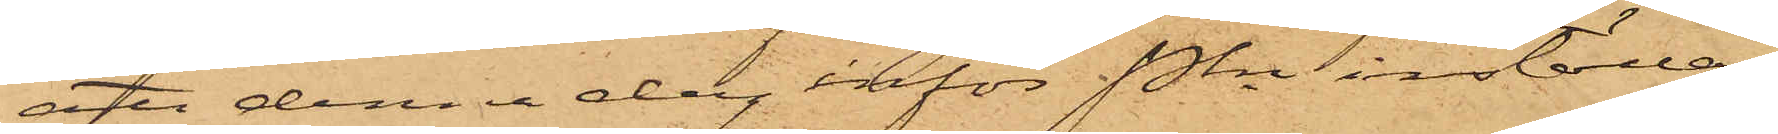att denna dag inför Pkn inställas.
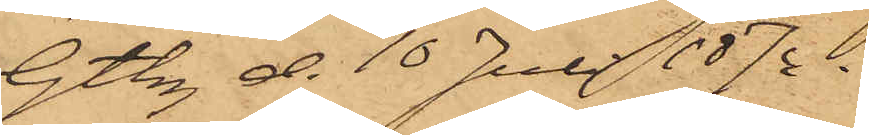Gtbg d. 10 Juli 1874.
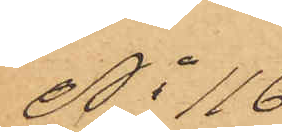No 116
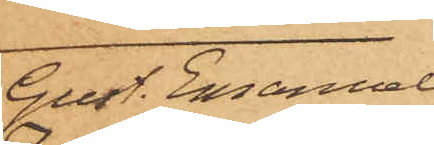Gust. Emanuel
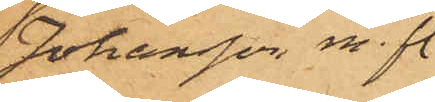Johansson m. fl.
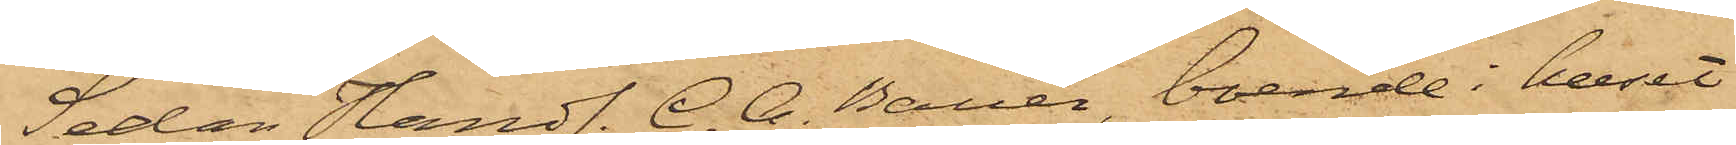Sedan Handl. C. A. Bauer, boende i huset
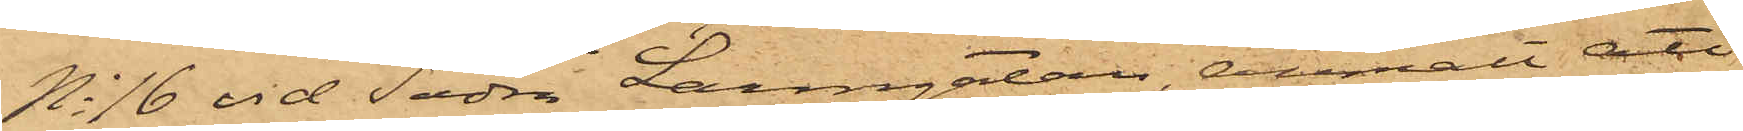No 16 vid Södra Larmgatan anmält att
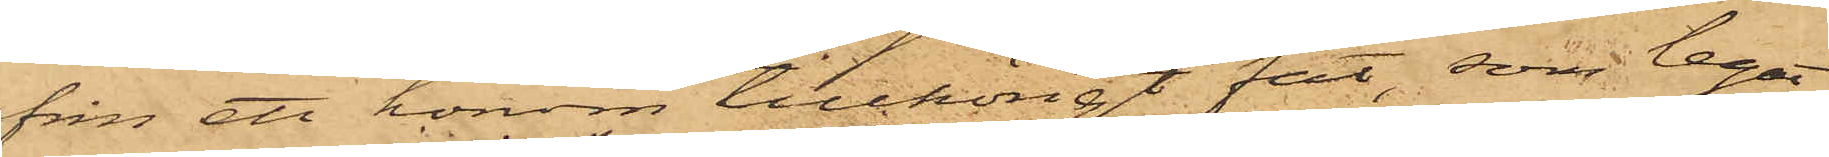från ett honom tillhörigt fat, som legat
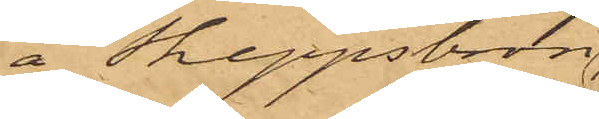å Skeppsbron
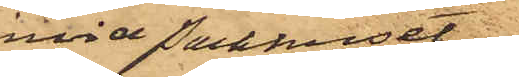invid Packhuset
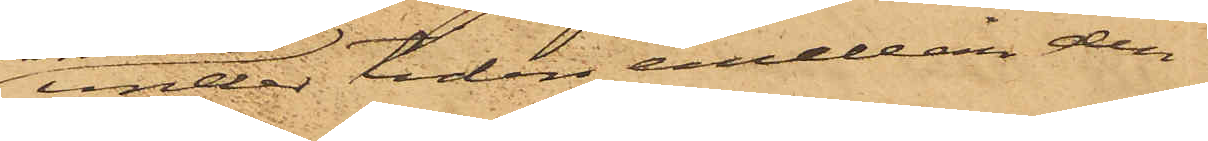under tiden emellan den
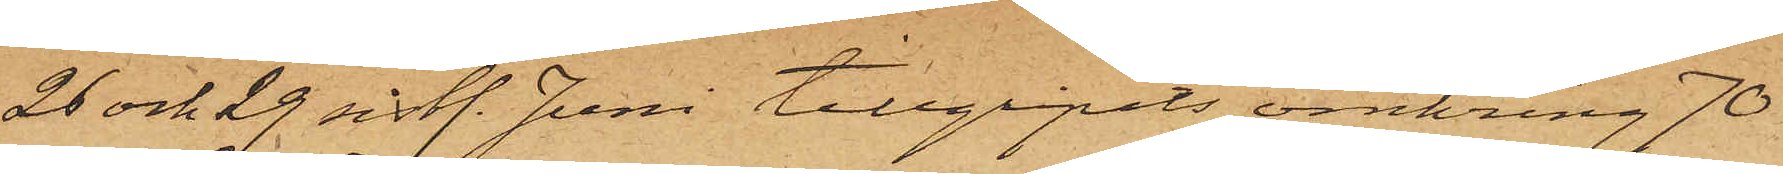26 och 29 sist. Juni tillgripits omkring 70
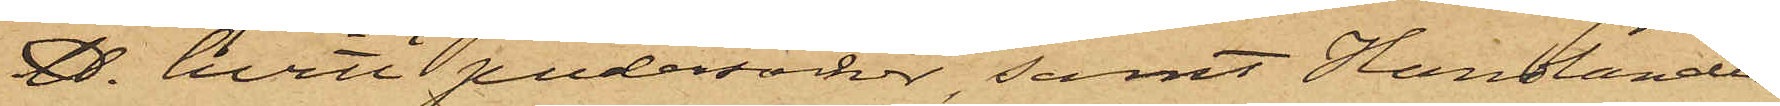℔. hvitt pudersocker, samt Handlanden
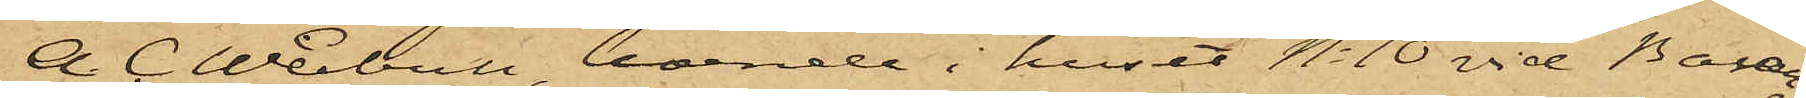        A. C. Weibull, boende i huset No 10 vid Ban¬
